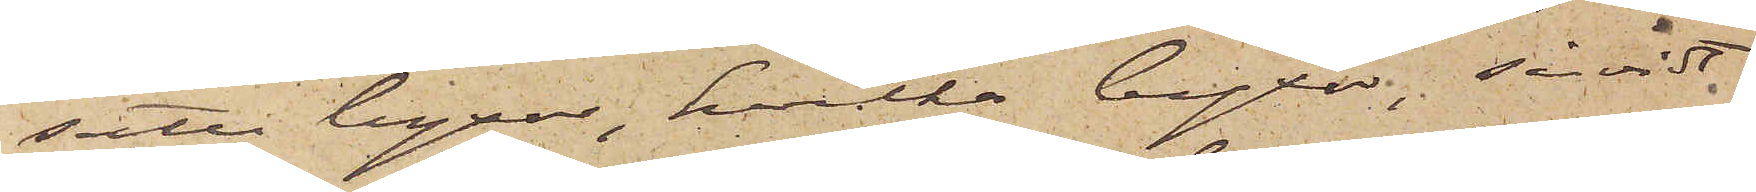satte byxor, hvilka byxor, såvidt
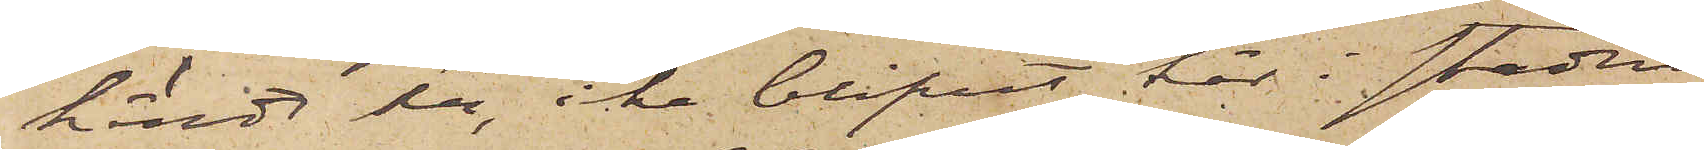kändt här, icke blifvit här i staden
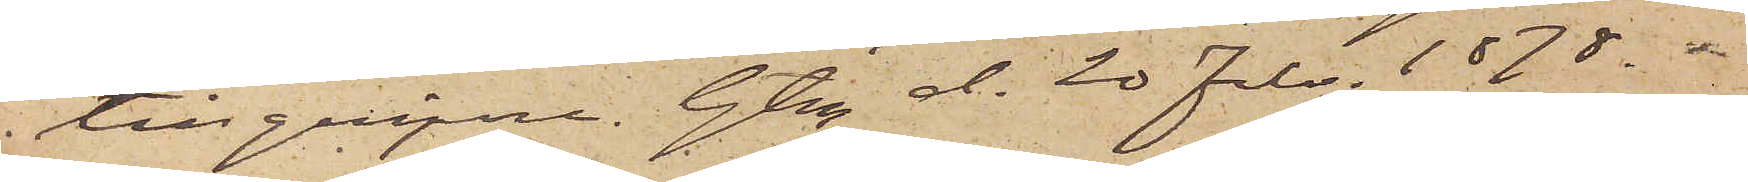tillgripne. Gbg d. 20 Febr. 1878.
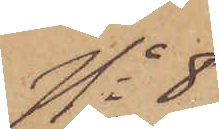No 8
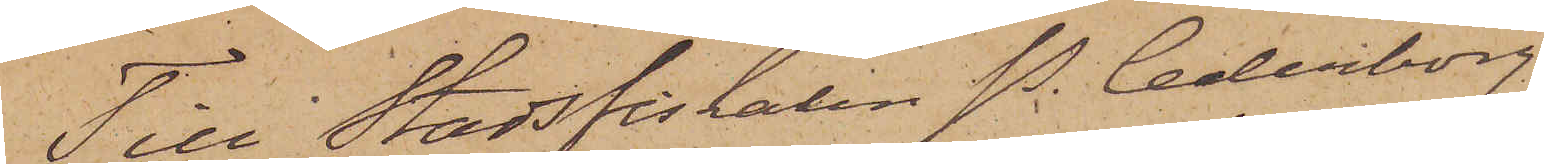Till Stadsfiskalen P. Cederborg
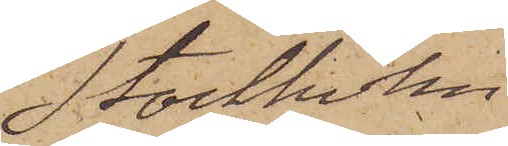Stockholm
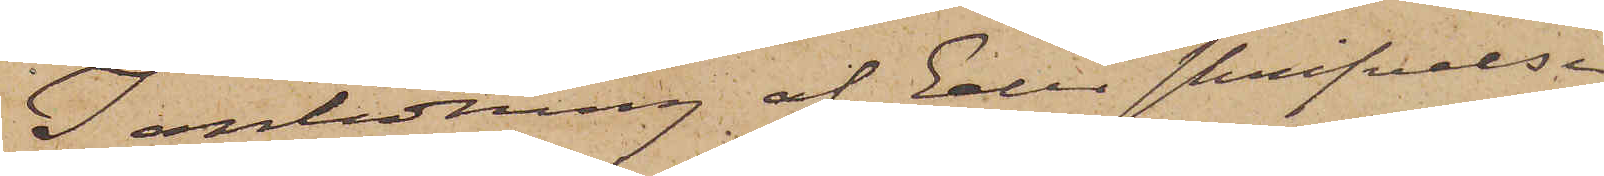I anledning af Eder skrifvelse
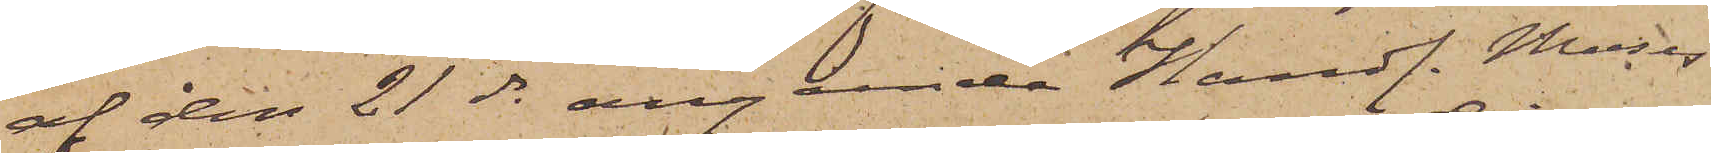af den 21 ds angående Handl. Moses
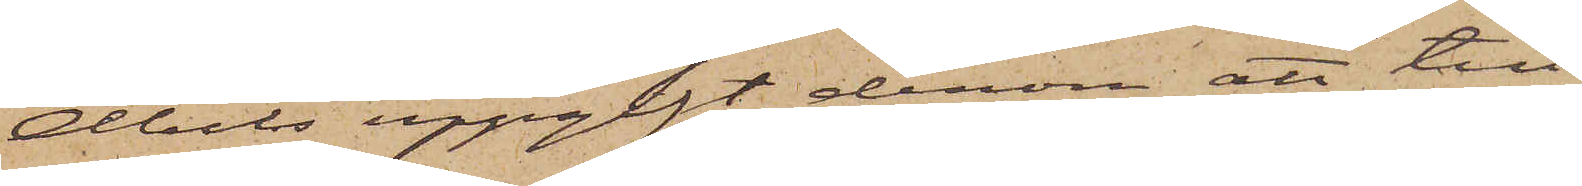Abels uppgift derom att till
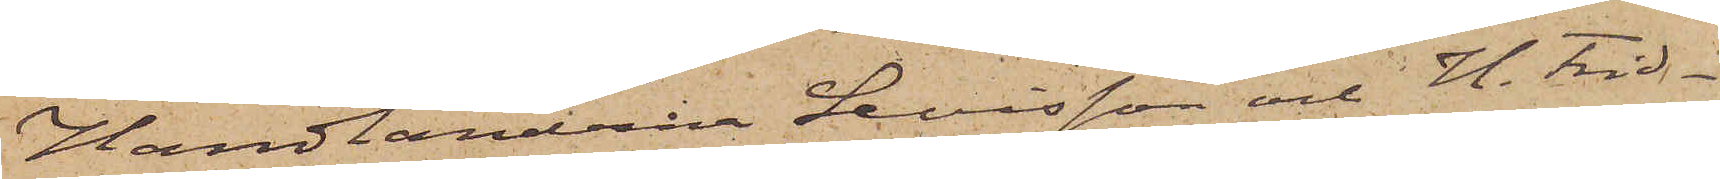Handlanderna Levisson och H. Frid¬
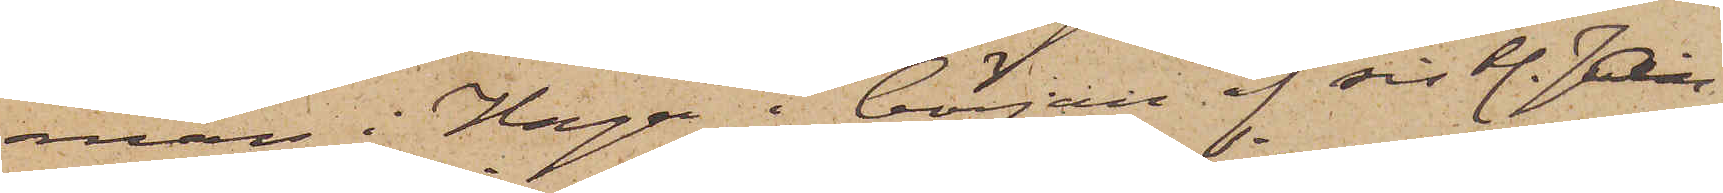man i Haga i början af sistl. Jan¬
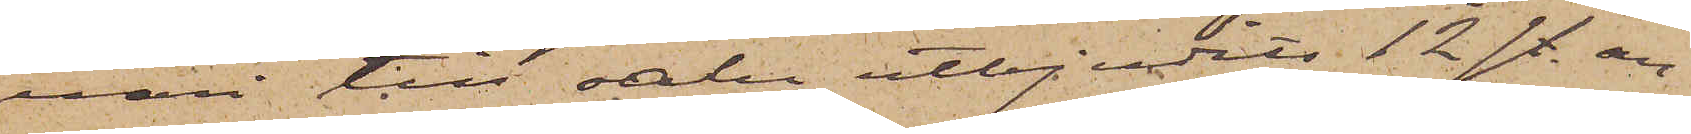uari till salu utbjudits 12 st. an¬
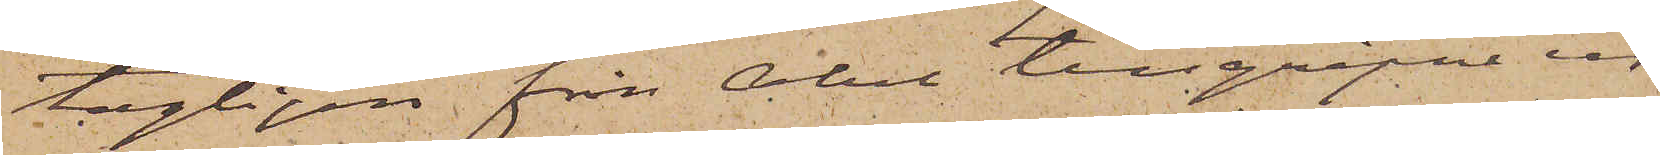tagligen från Abel tillgripne ur
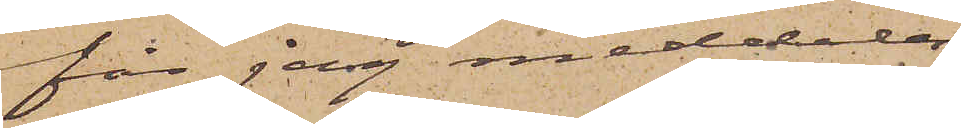får jag meddela
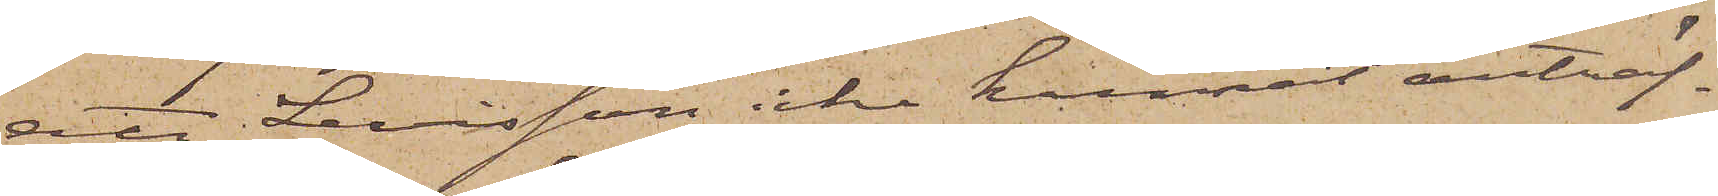att Levisson icke kunnat anträf¬
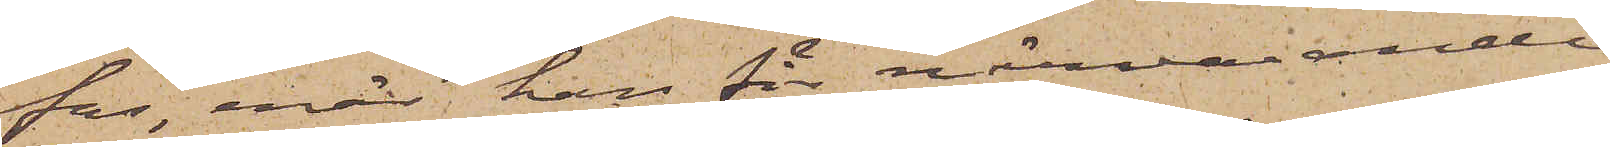fas, enär han för närvarande
